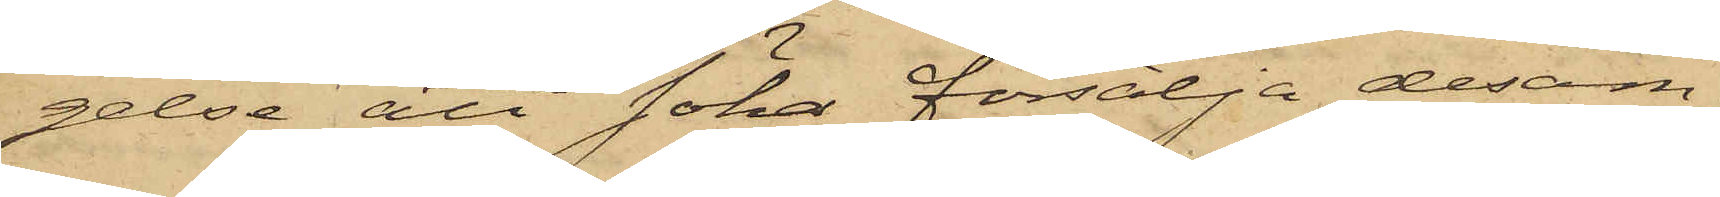gelse att söka försälja desam¬
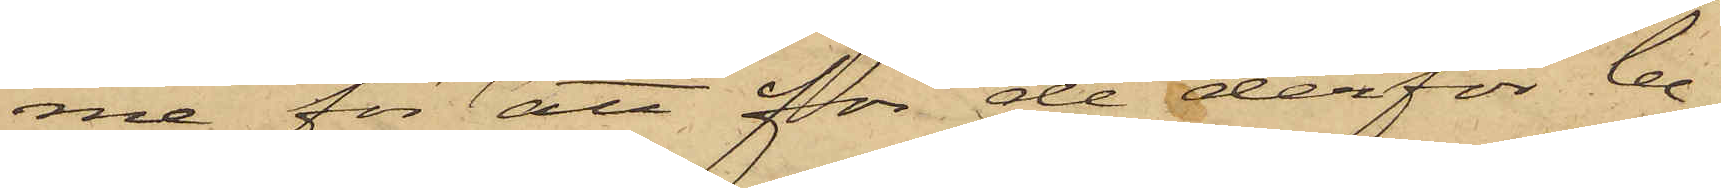ma för att för de derför be¬
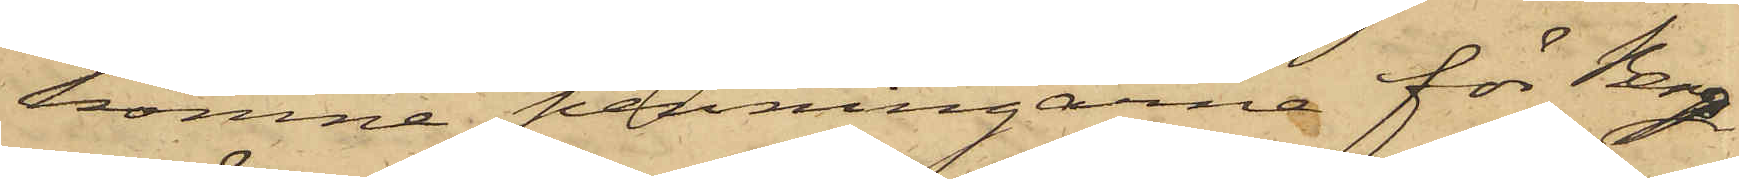komne penningarne för Berg¬
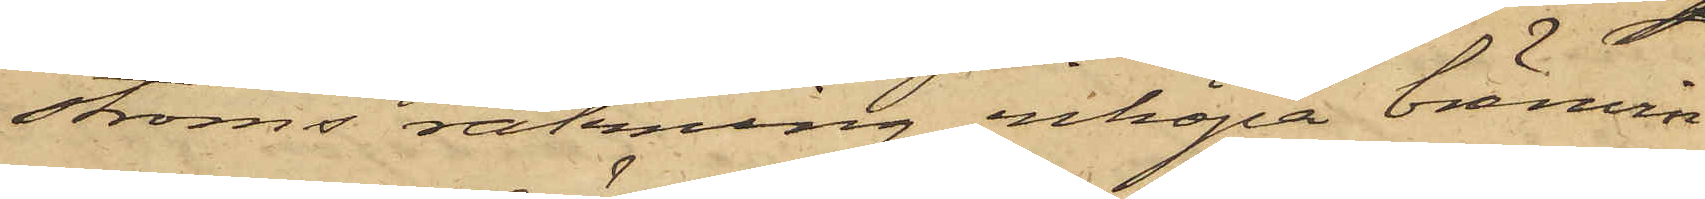ströms räkning inköpa bränvin.
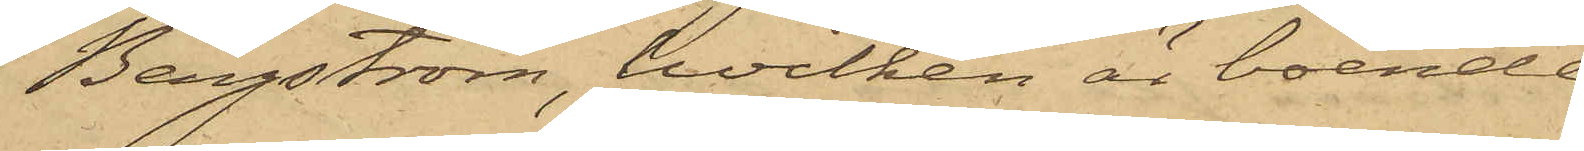Bergström, hvilken är boende
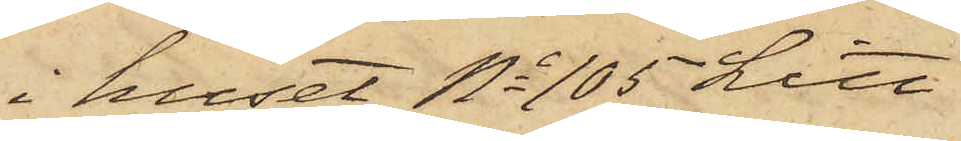i huset No 105 Litt.
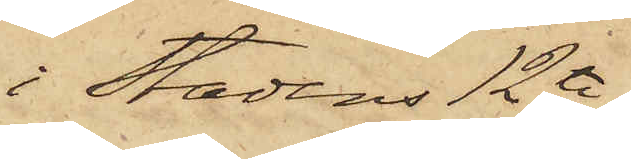i Stadens 12te
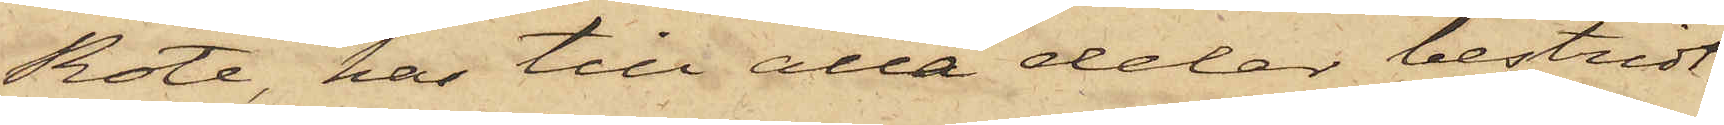Rote, har till alla delar bestridt
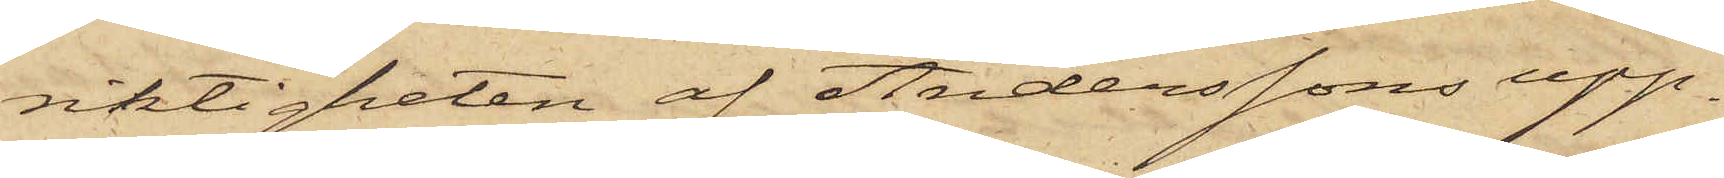riktigheten af Anderssons upp¬
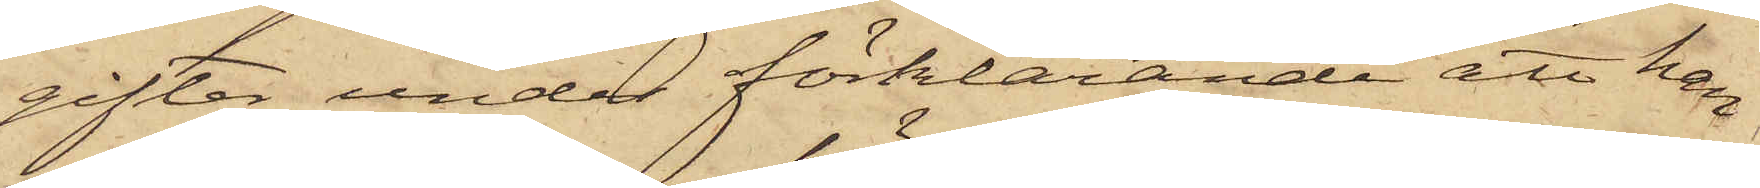gifter under förklarande att han
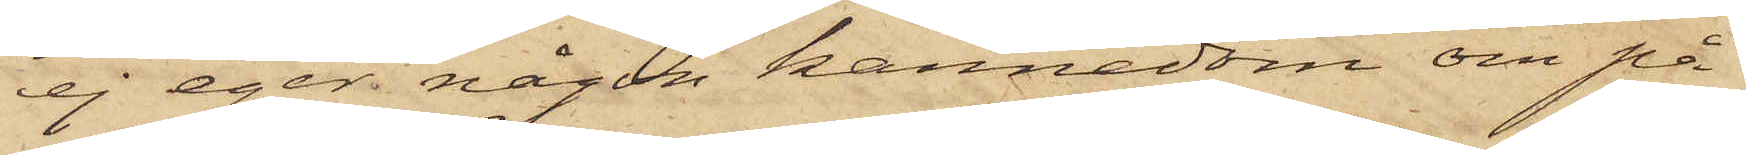ej eger någon kännedom om på
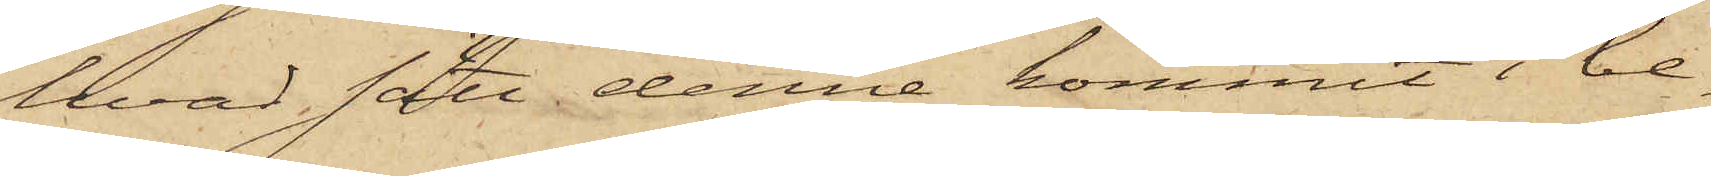hvad sätt denne kommit i be¬
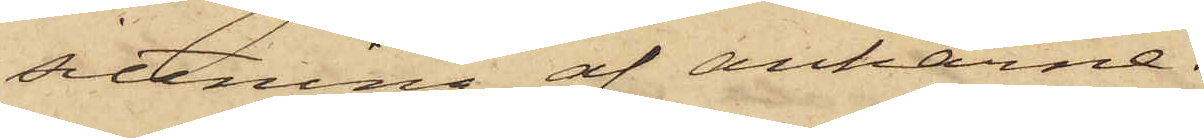sittning af ankarne.
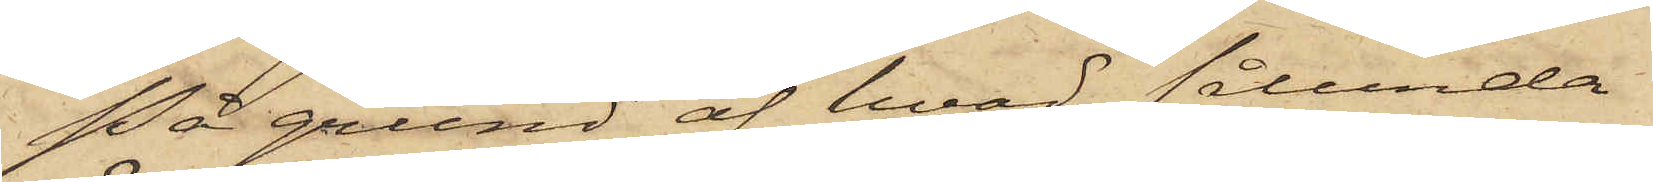På grund af hvad sålunda
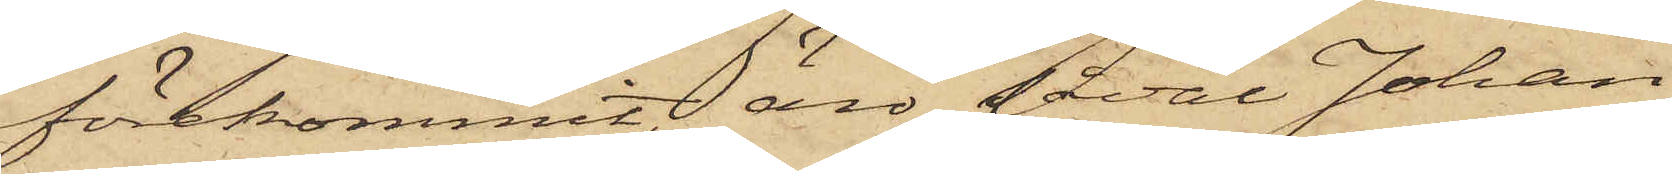förekommit, äro såväl Johan
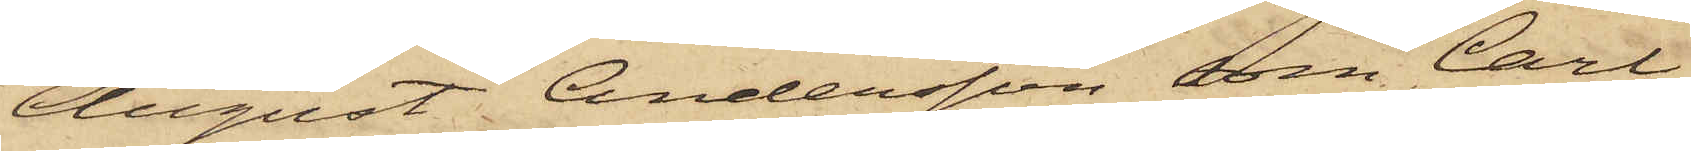August Andersson som Carl
